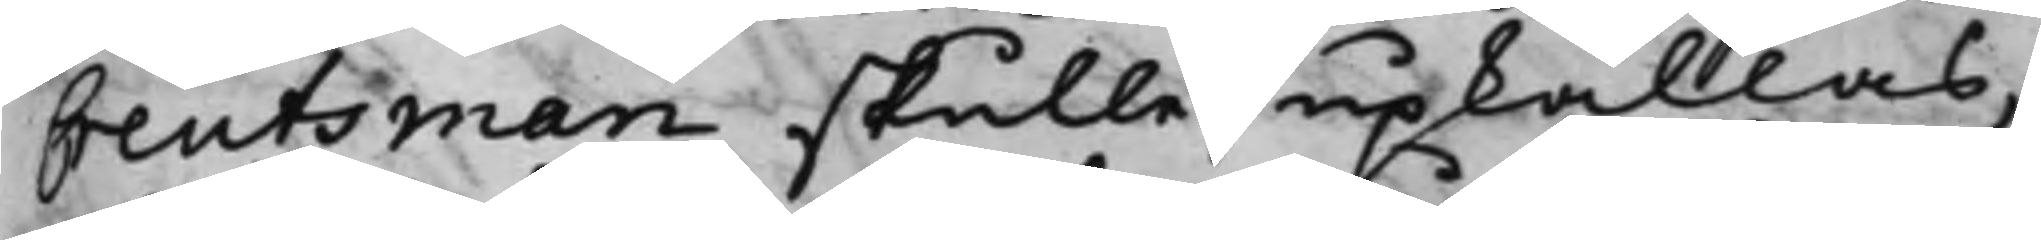Creutsman skulle upkallas,
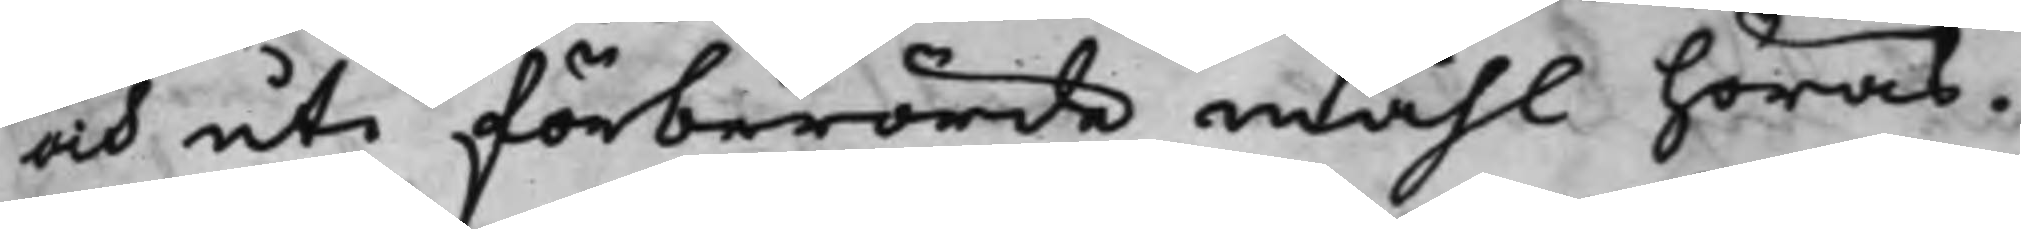och uti förberörde måhl höras.
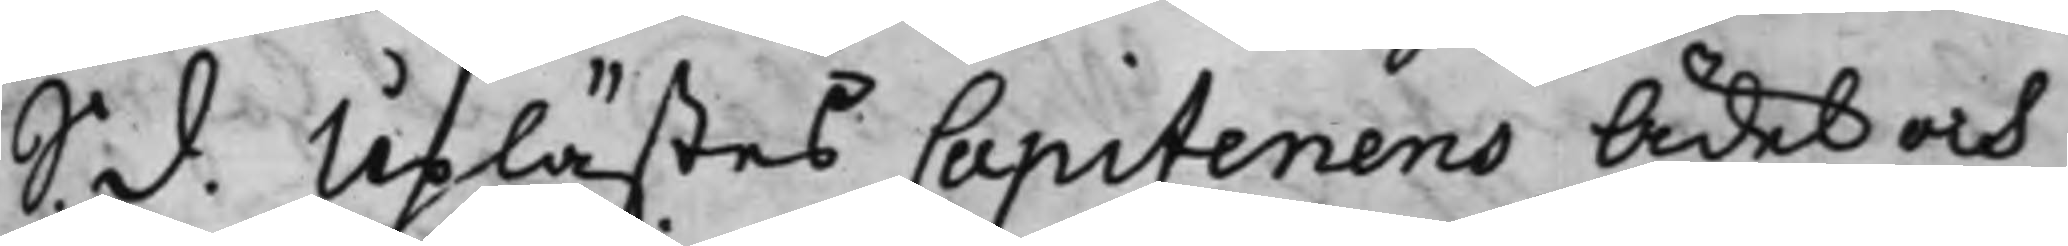S. d. Uplästes Capitenens Ädel och
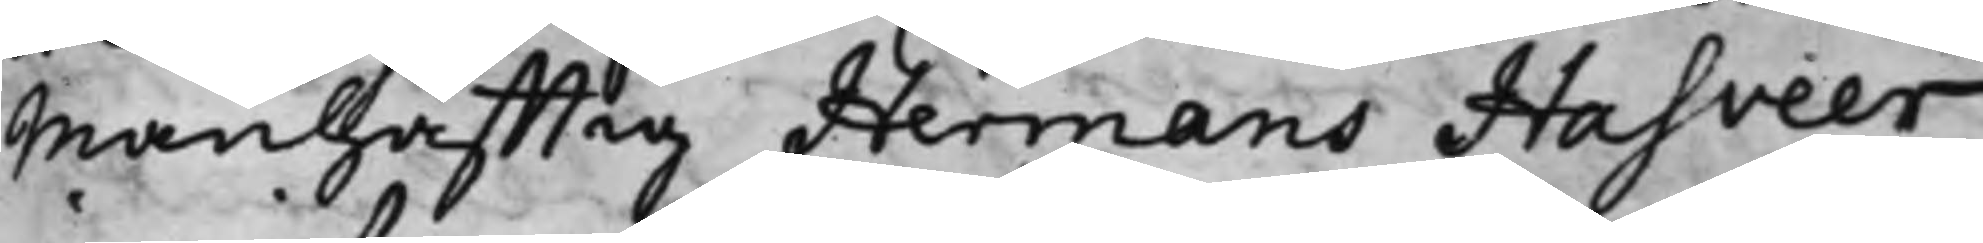Manhafftig Hermans Hasveer
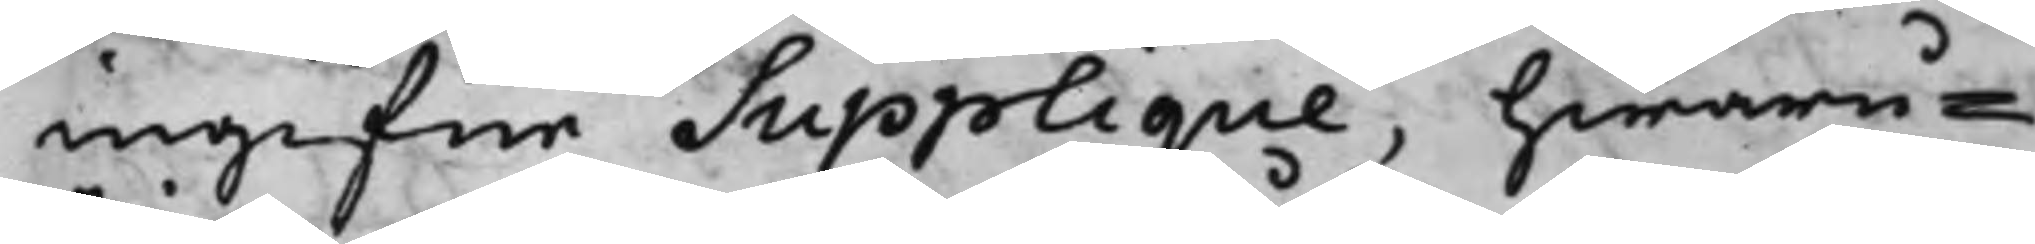ingifne Supplique, hwaru¬
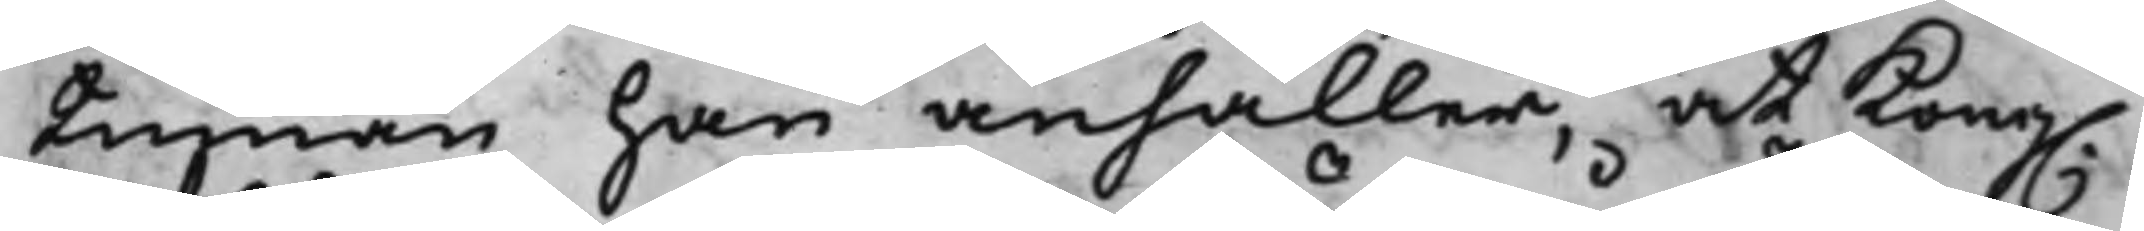tinnan han anhåller, at Kongl.
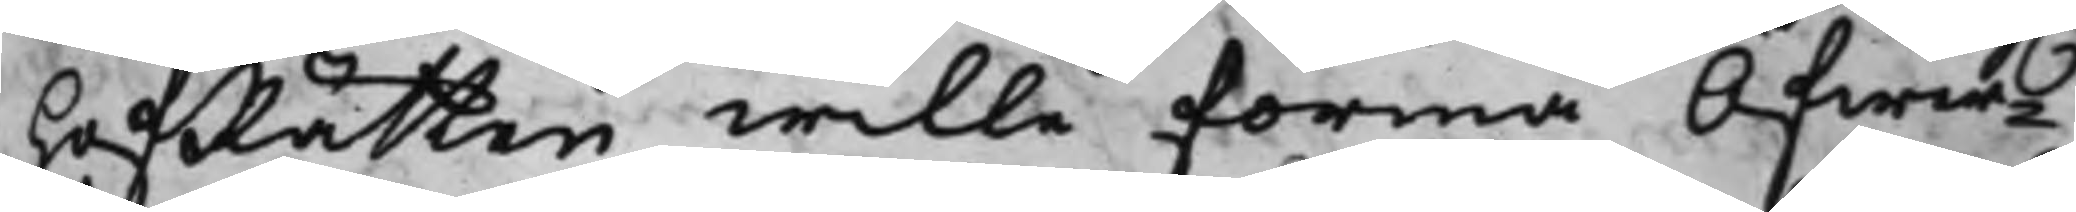HofRätten wille förmå Öfwer¬
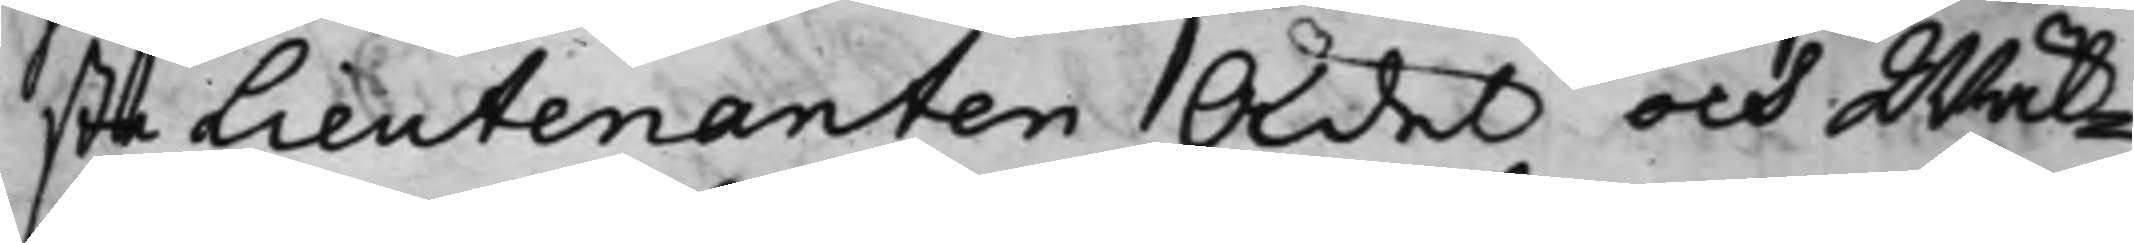ste Lieutenanten Ädel och Wäl¬
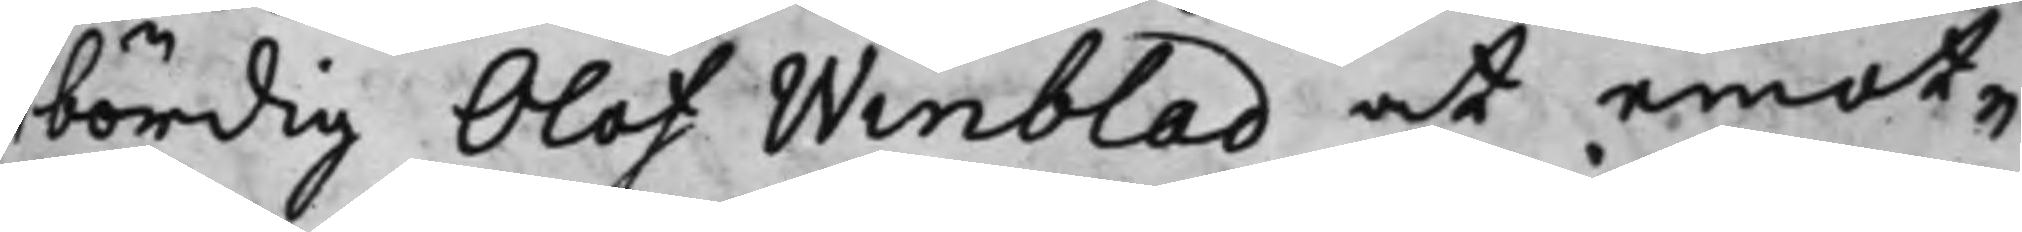bördig Olof Winblad at emot¬
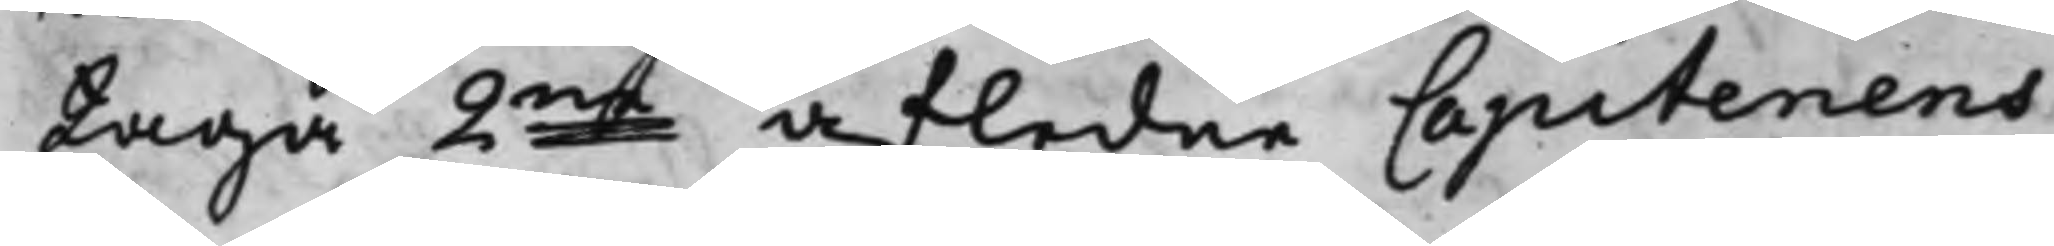taga 2ne afledne Capitenens
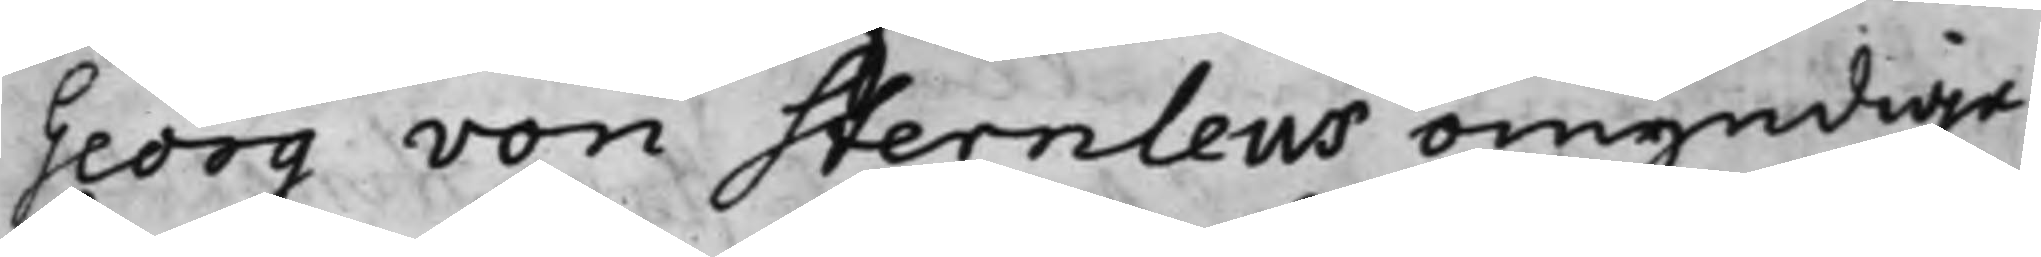Georg von Sternlews omyndiga
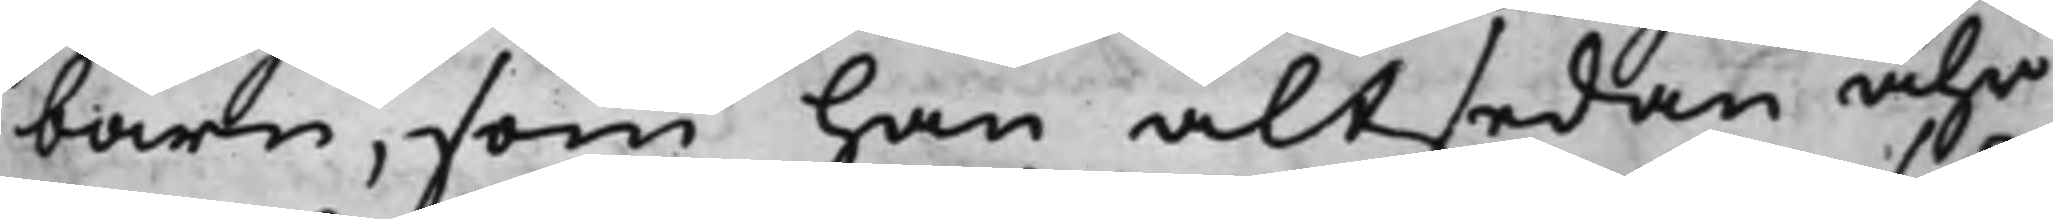barn, som han altsedan åhr
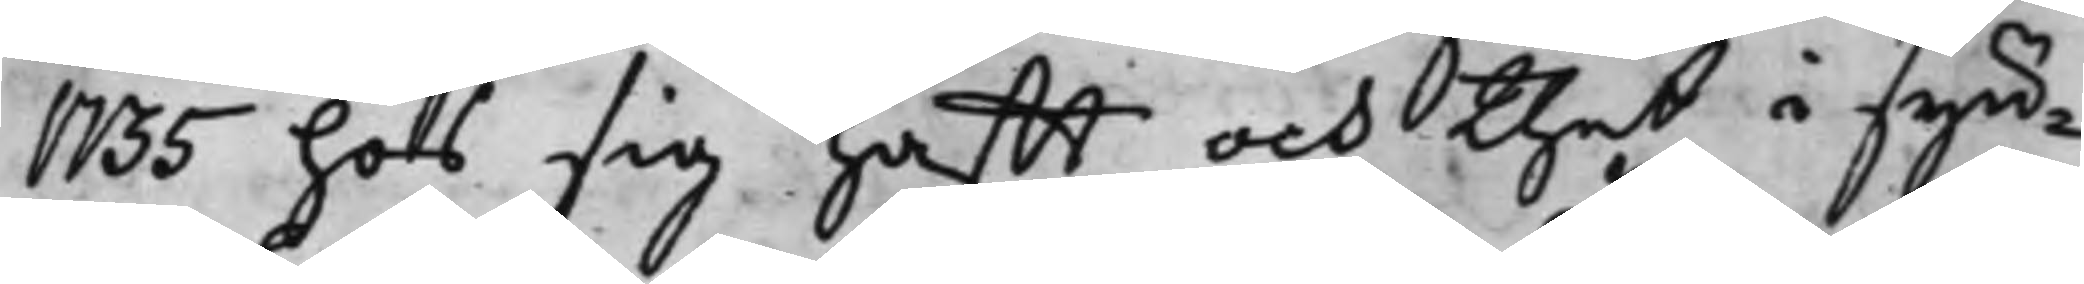1735 hos sig hafft och thet i syn¬
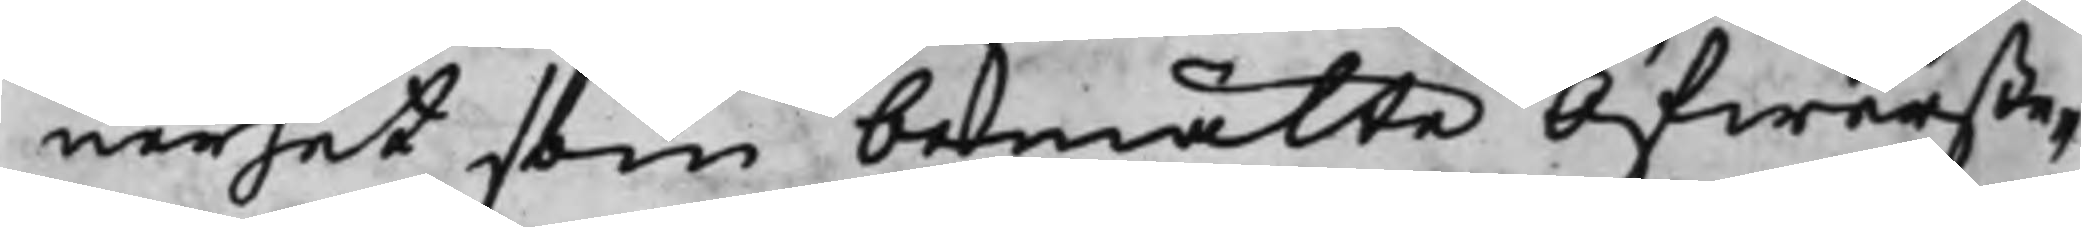nerhet som bemälte Öfwerste¬
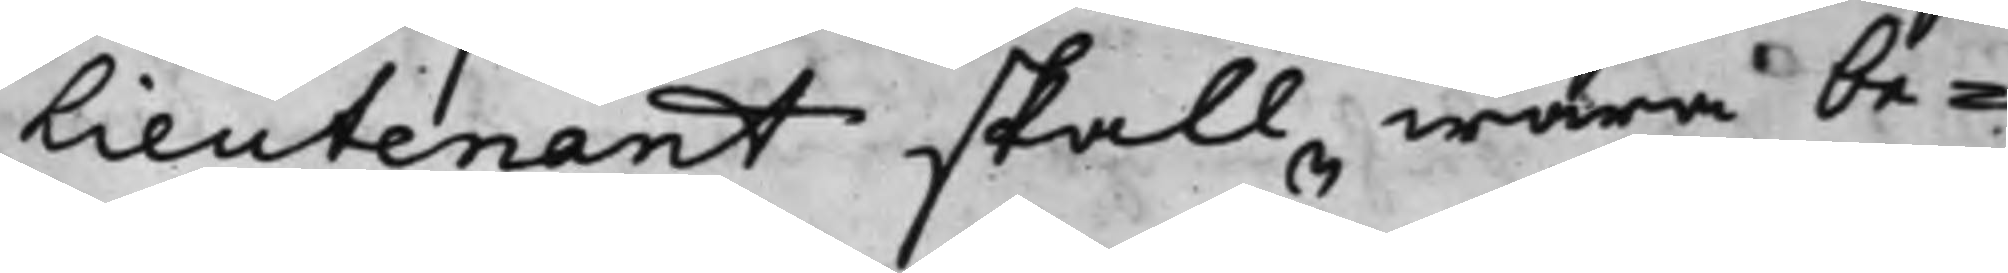Lieutenant skall wara be¬
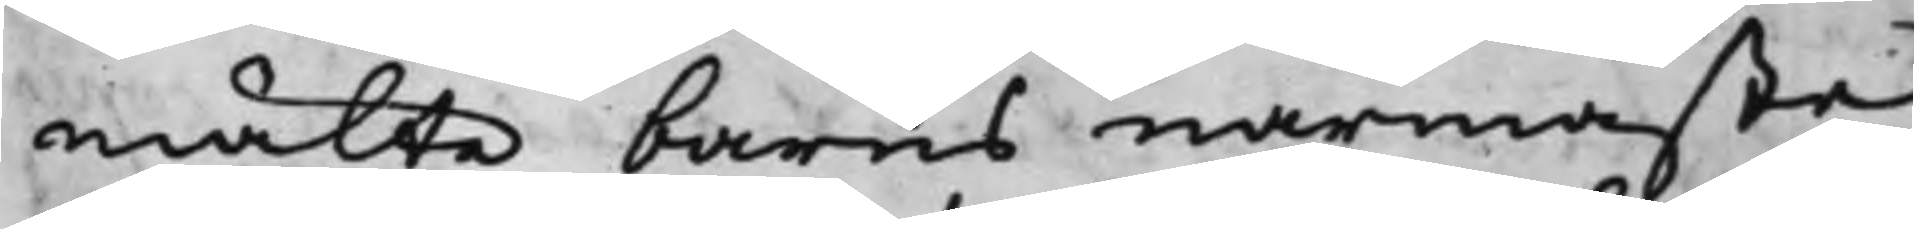mälte barns närmaste
